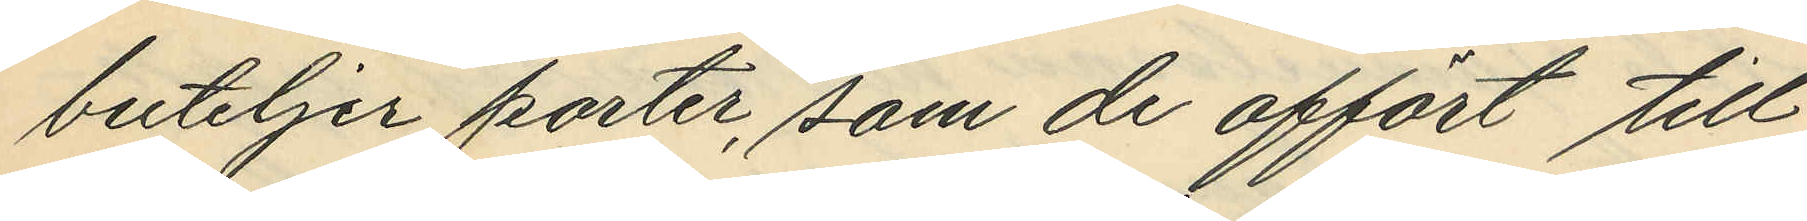buteljer porter, som de affört till
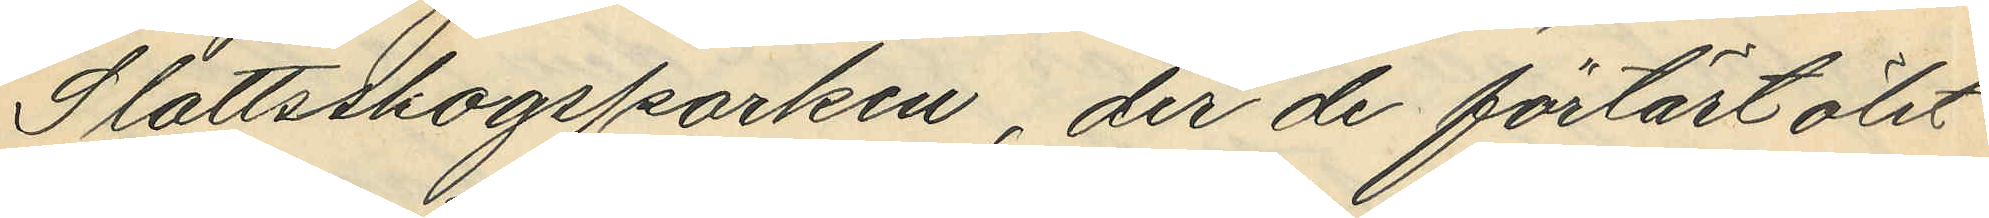Slottsskogsparken, der de förtärt ölet
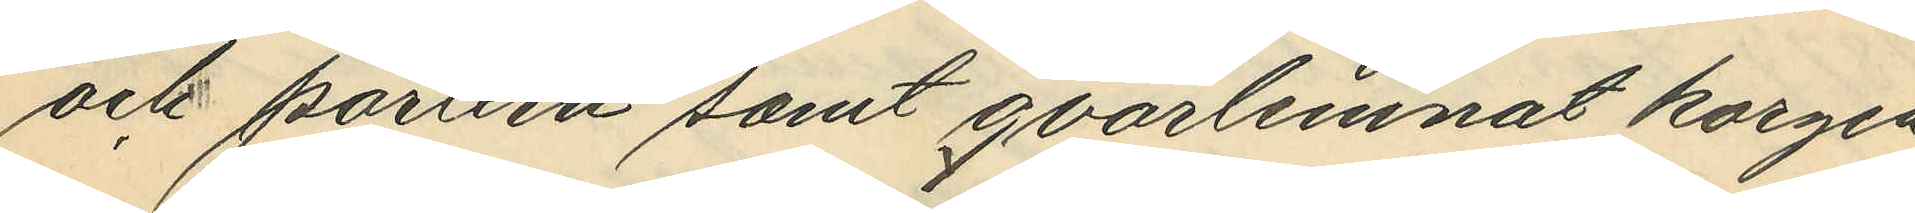och portern samt qvarlemnat korgen
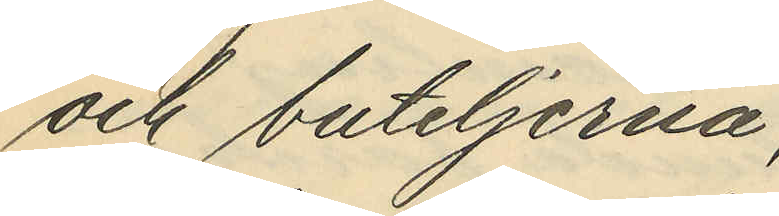och buteljerna;
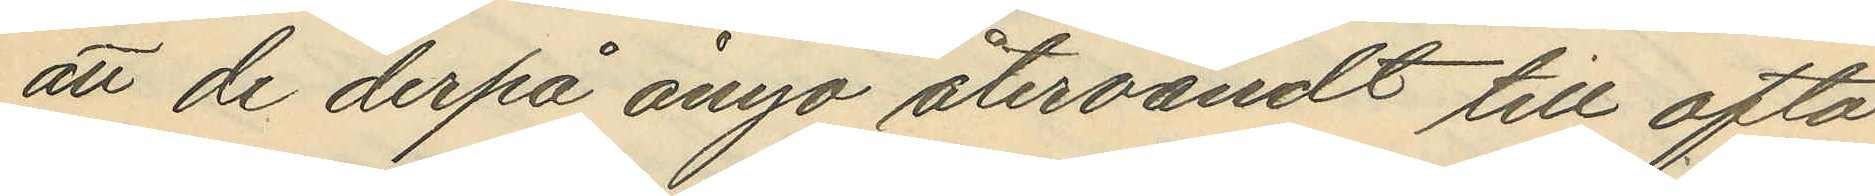att de derpå ånyo återvändt till ofta
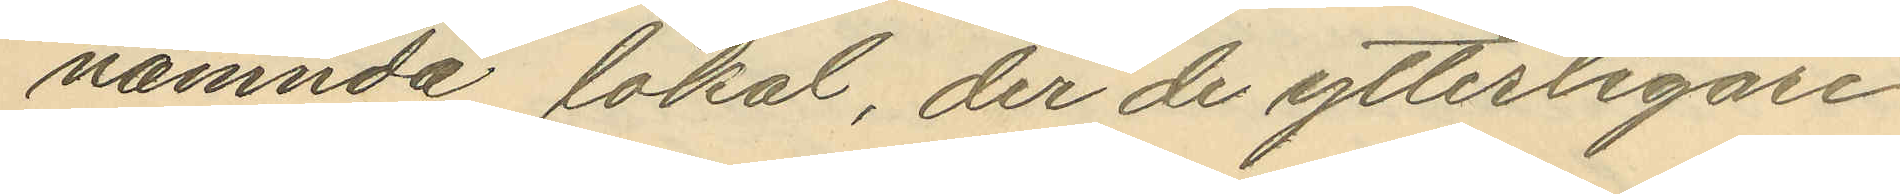nämnda lokal, der de ytterligare
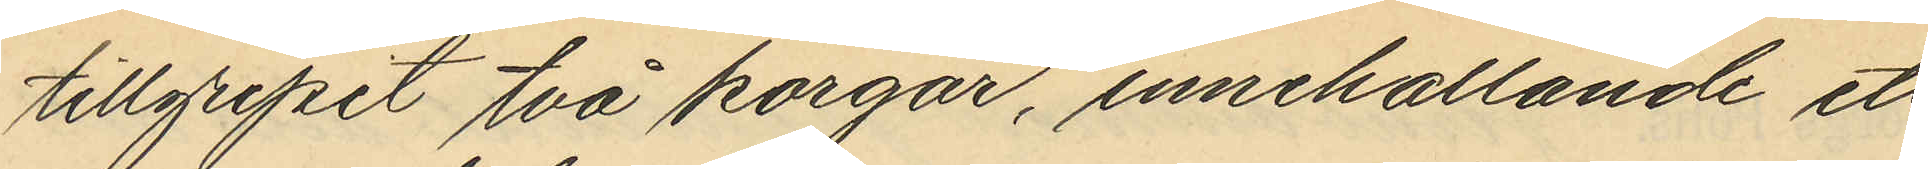tillgripit två korgar, innehållande ett
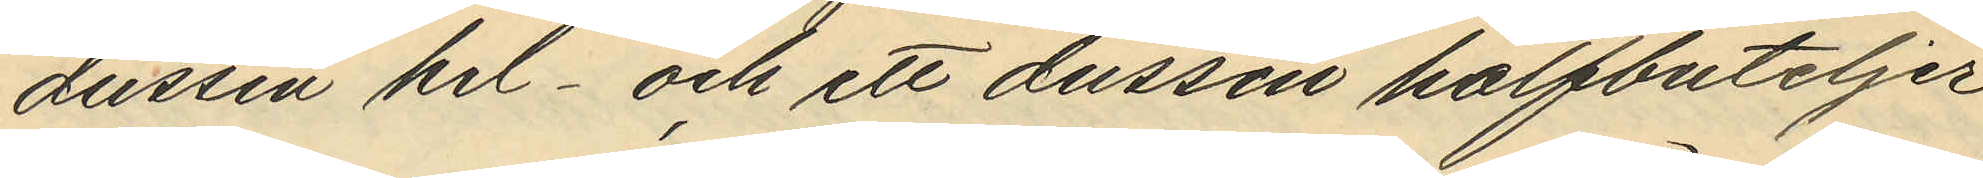dussin hel- och ett dussin halfbuteljer
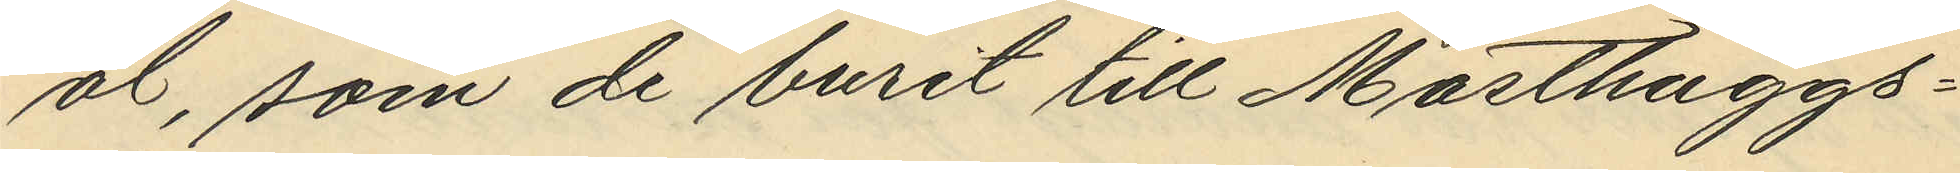öl, som de burit till Masthuggs¬
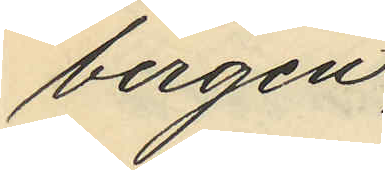bergen,
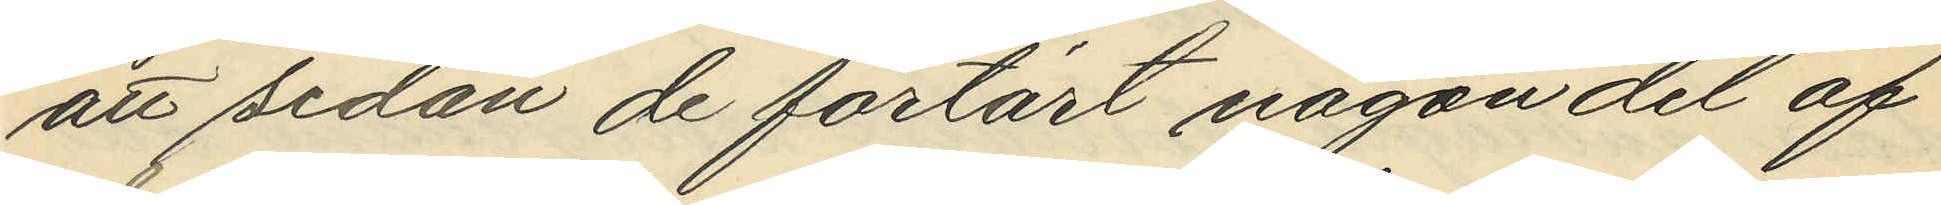att sedan de förtärt någon del af
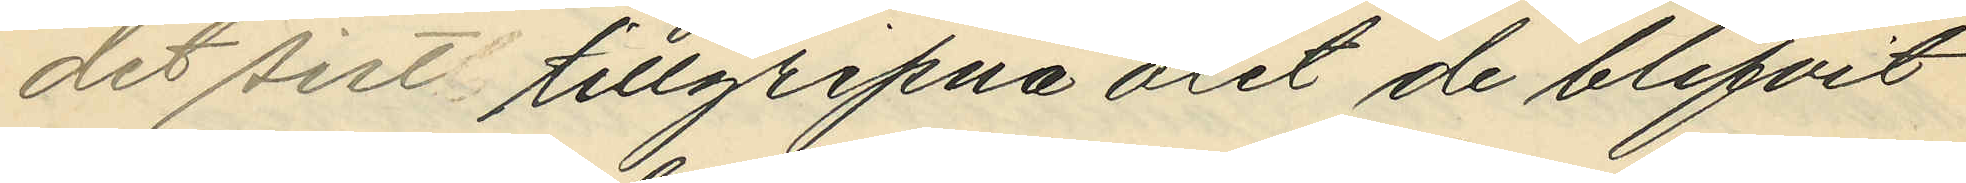det sist tillgripna ölet de blifvit
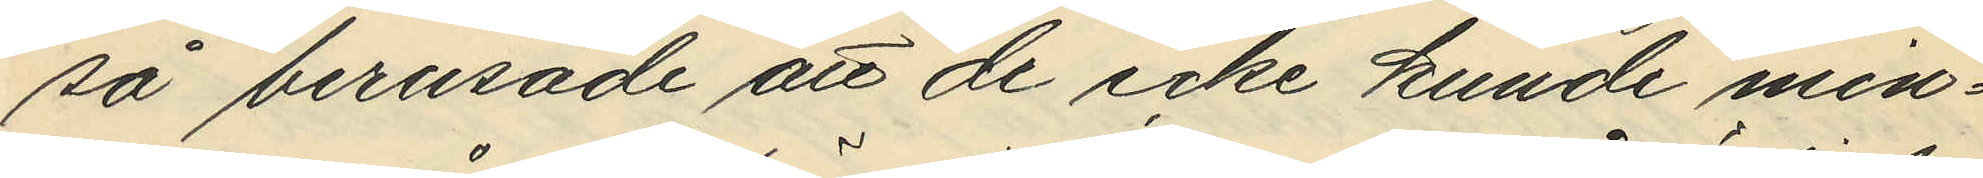så berusade att de icke kunde min¬
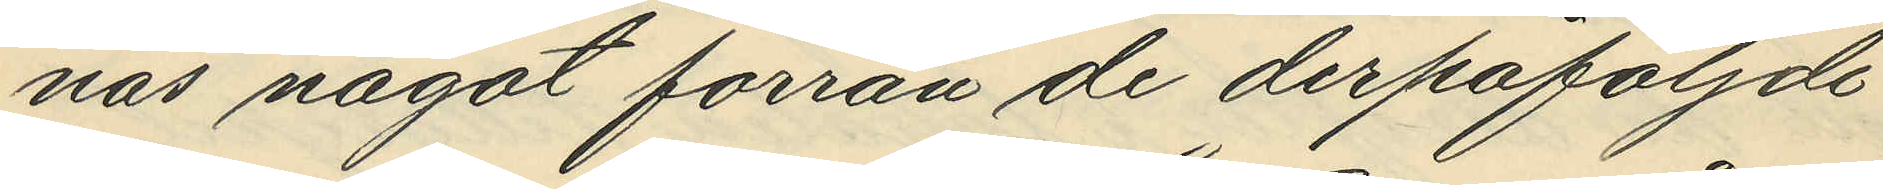nas något förrän de derpåföljde
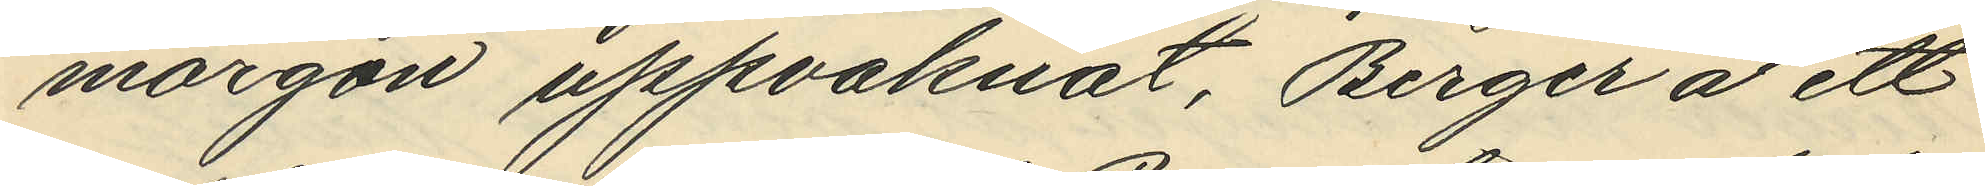morgon uppvaknat, Berger å ett
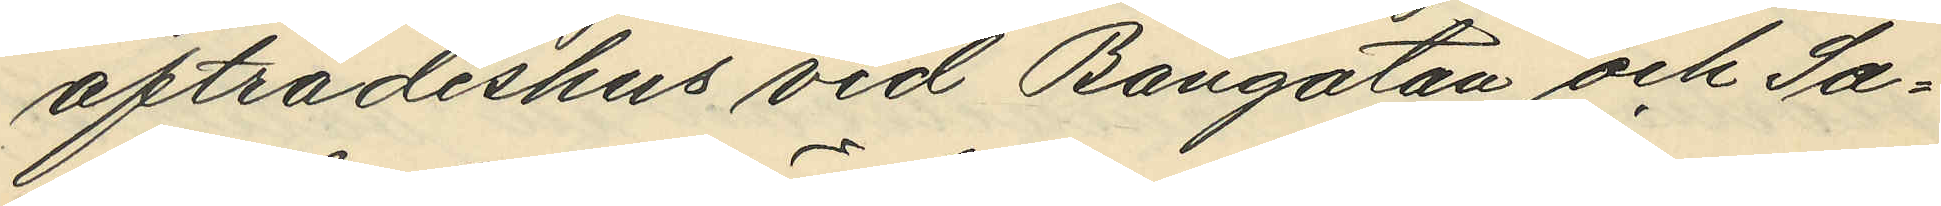afträdeshus vid Bangatan och Sa¬
